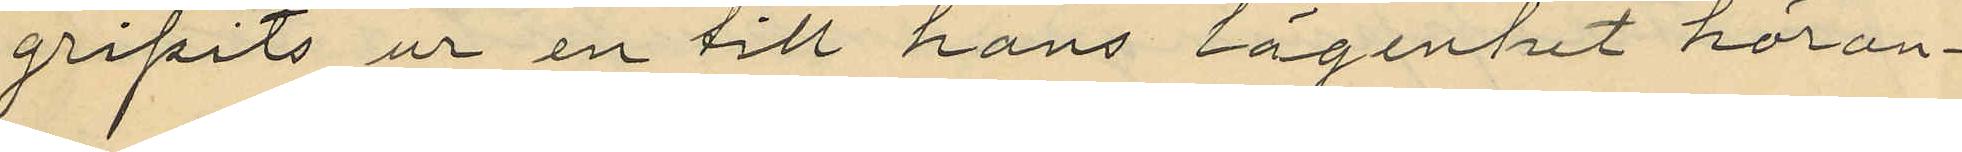gripits ur en till hans lägenhet häran¬
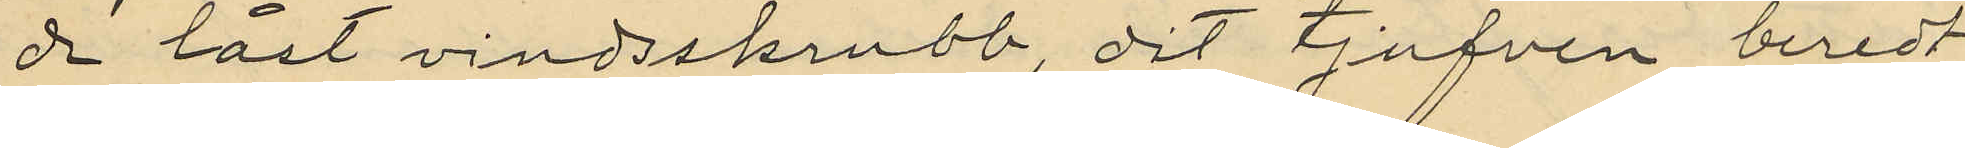de låst vindsskrubb, dit tjufven beredt
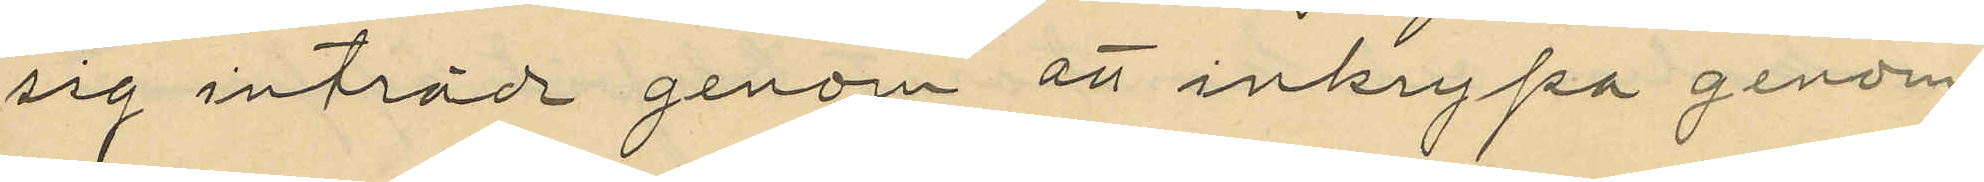sig inträd genom att inkrypa genom
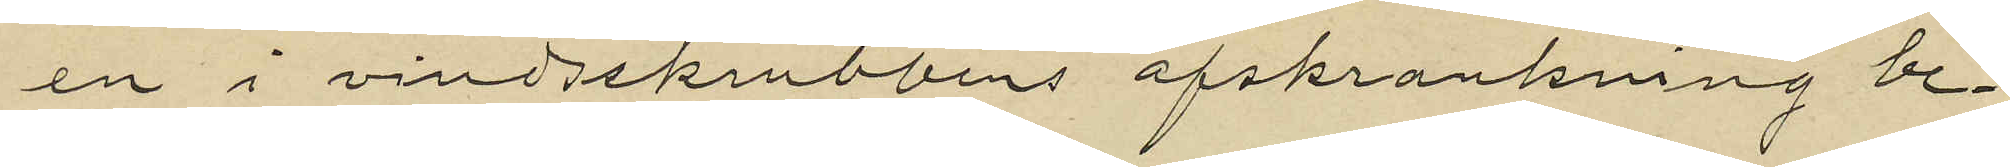en i vindsskrubbens afskrankning be¬
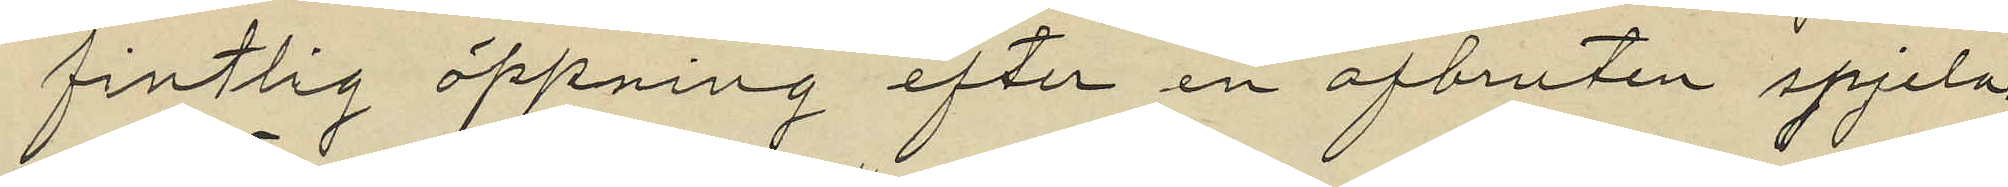fintlig öppning efter en afbruten spjela.
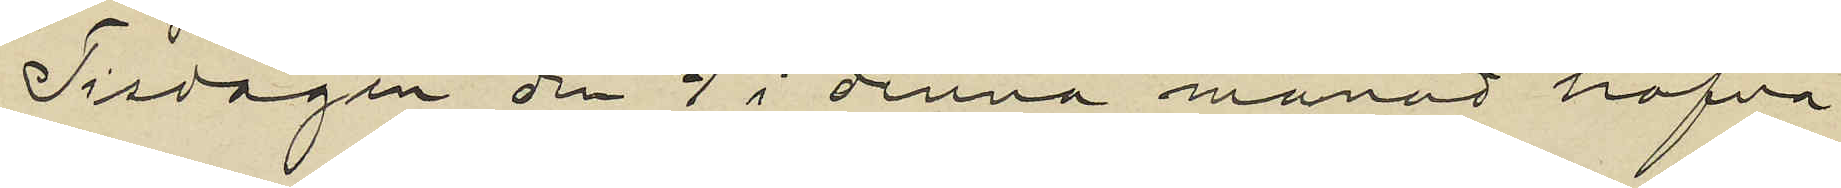Tisdagen den 9 i denna månad hafva
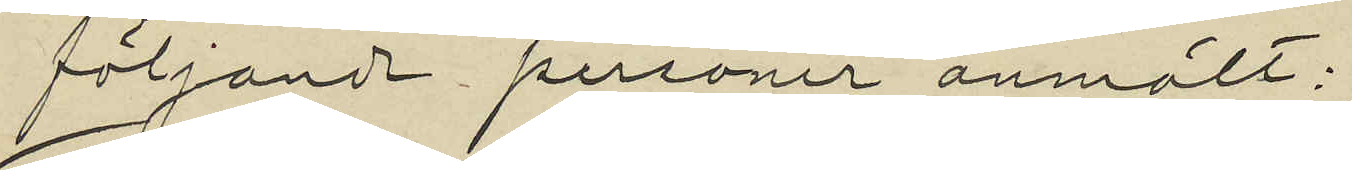följande personer anmält:
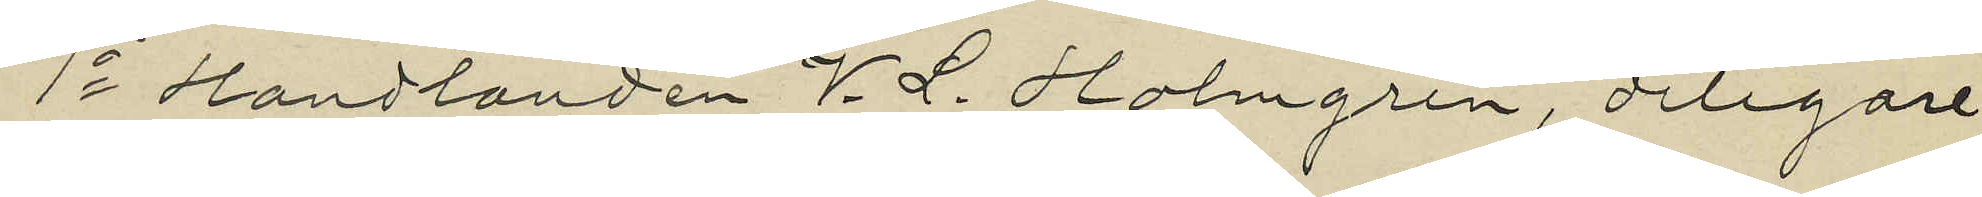1o Handlanden V. L. Holmgren, delegare
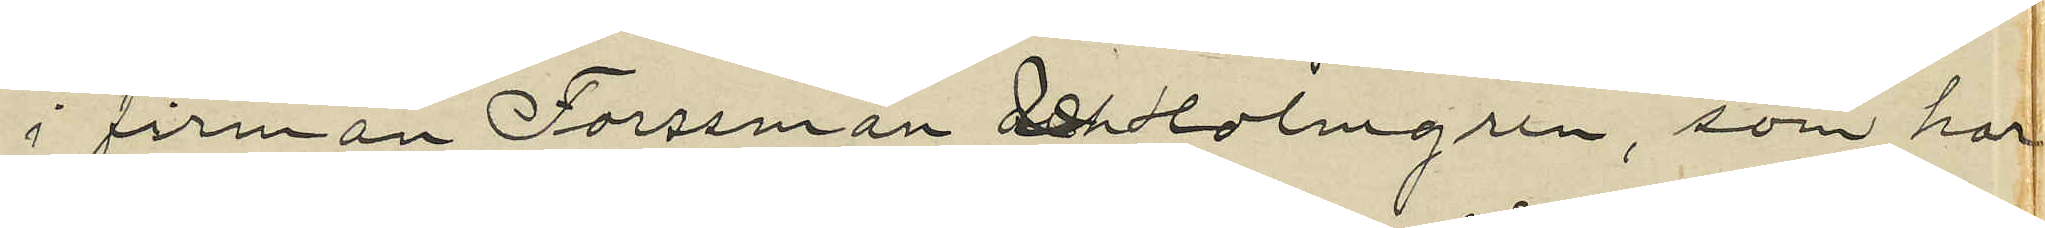i firman Forssman och Holmgren, som har
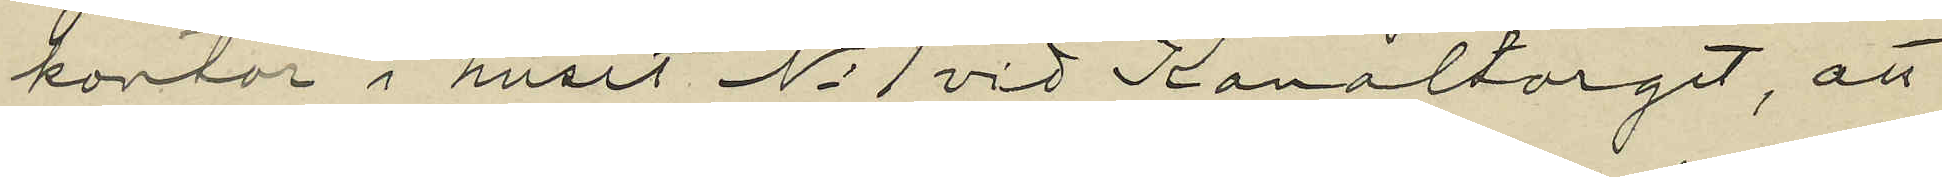kontor i huset No 1 vid Kanaltorget, att
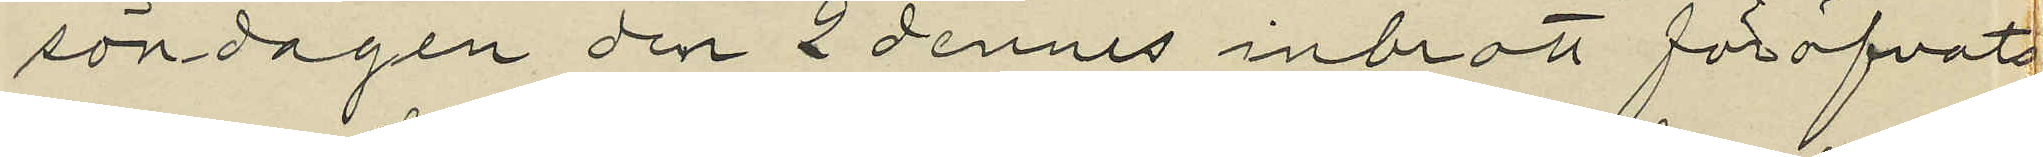söndagen den 2 dennes inbrott föröfvats
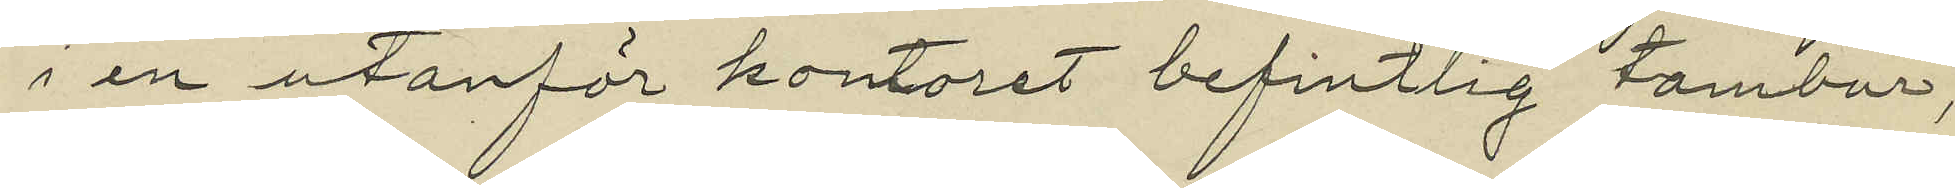i en utanför kontoret befintlig tambur,
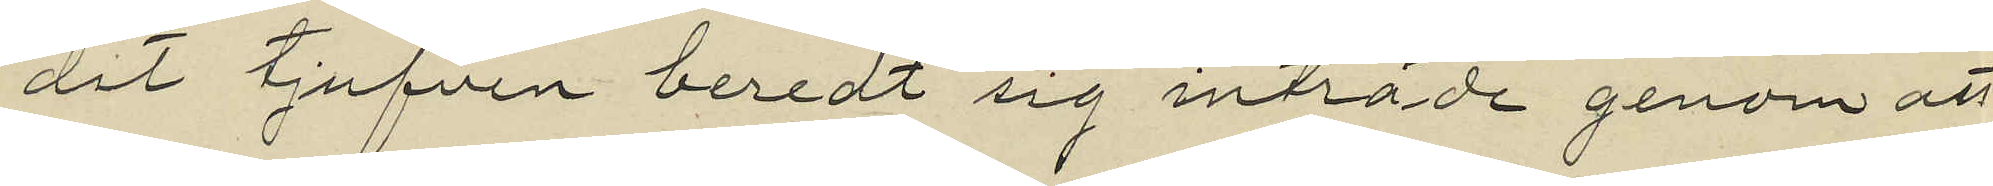dit tjufven beredt sig inträde genom att
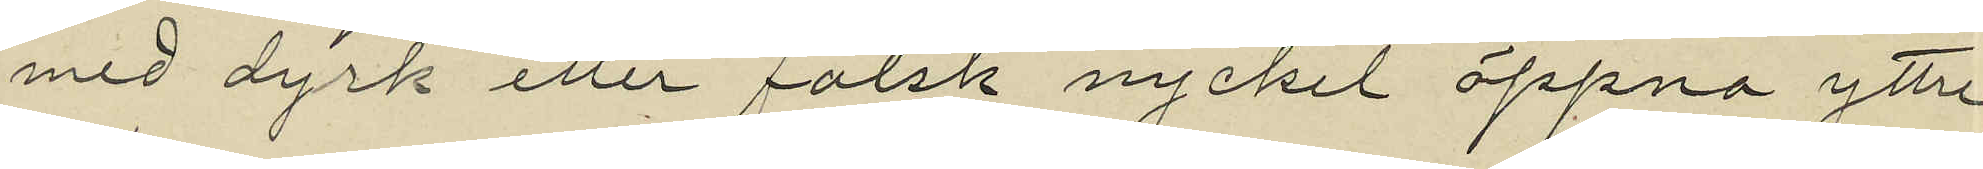med dyrk eller falsk nyckel öppna yttre
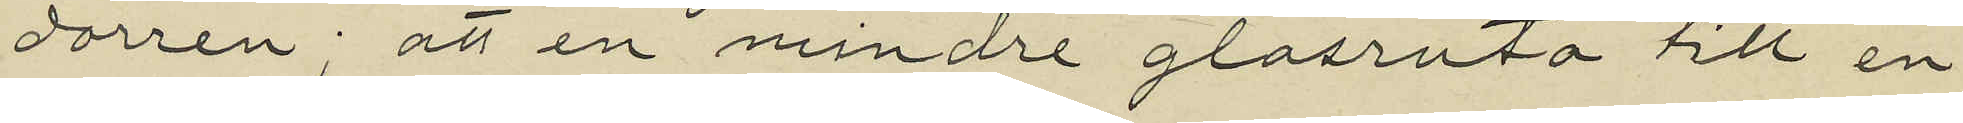dörren; att en mindre glasruta till en
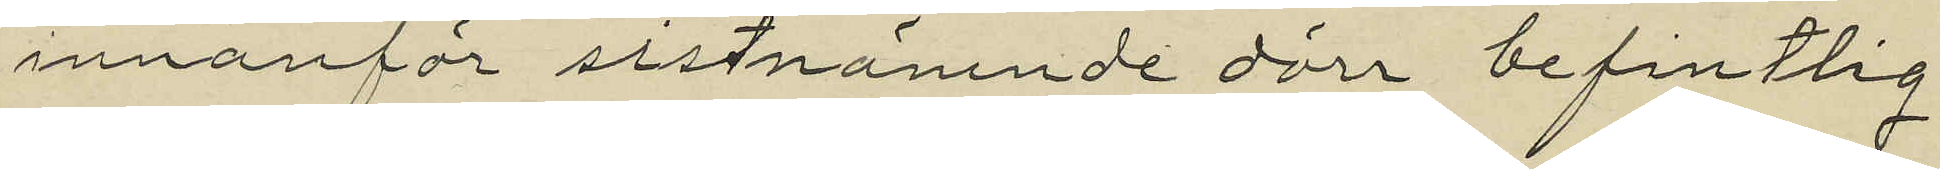innanför sistnämnde dörr befintlig
